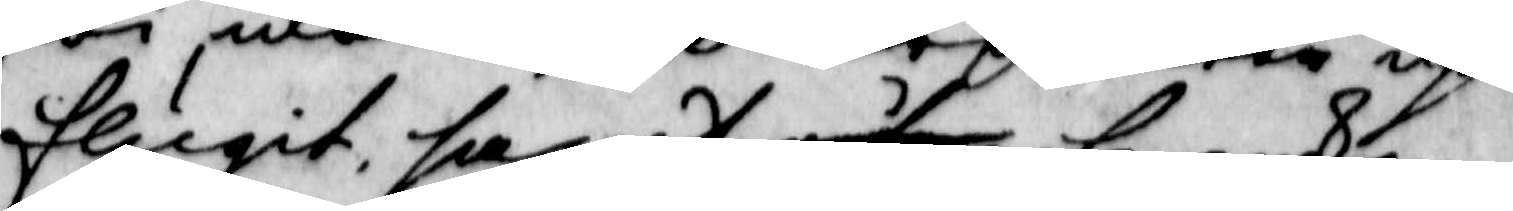flugit, samt åter framkom¬
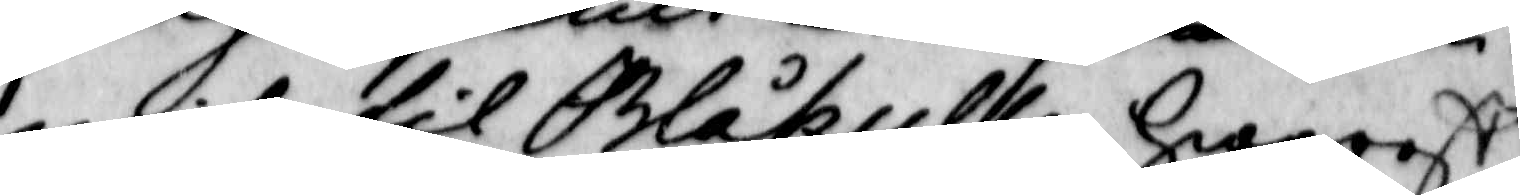mit til Blåkulla, hwarest
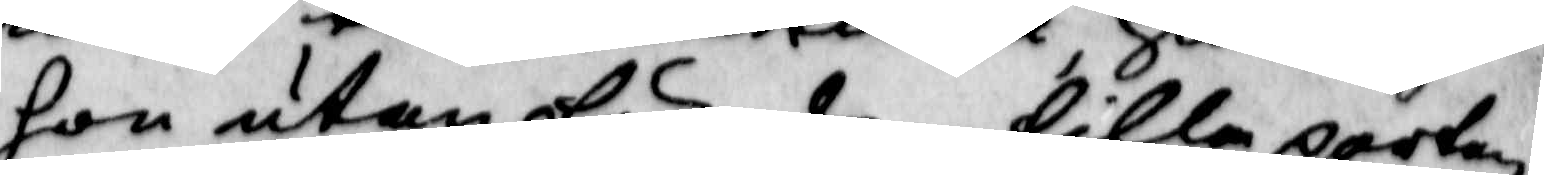hon utan för den lilla porten
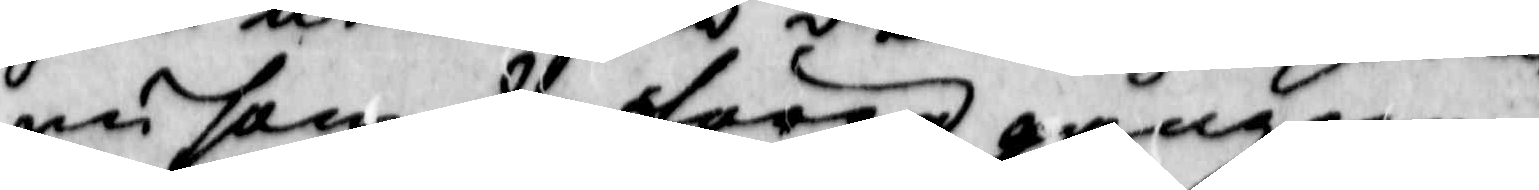nu som de förra gångarne
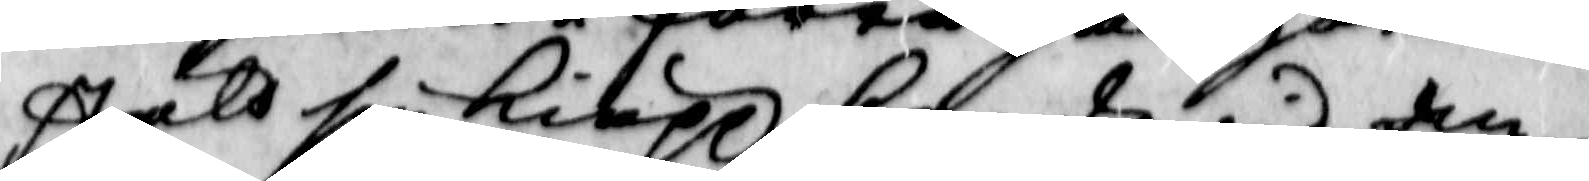stält sin kiäpp bredwid an¬
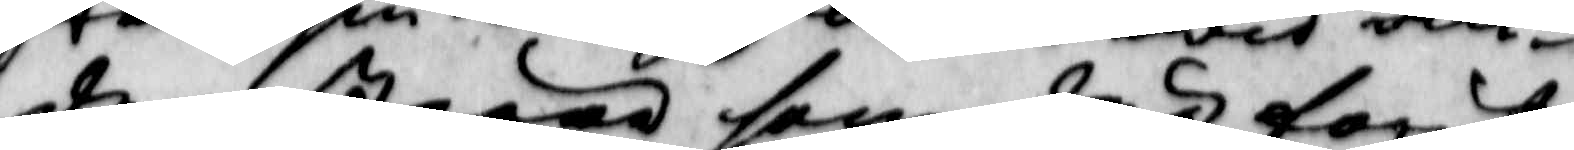dra störar som där förut
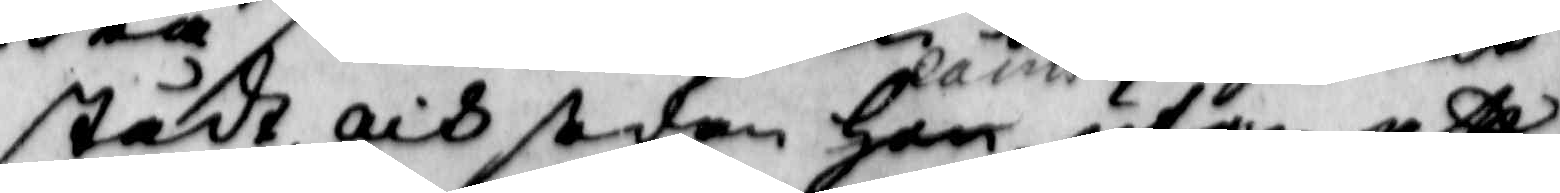stådt, och sedan Hon, Carin utan att
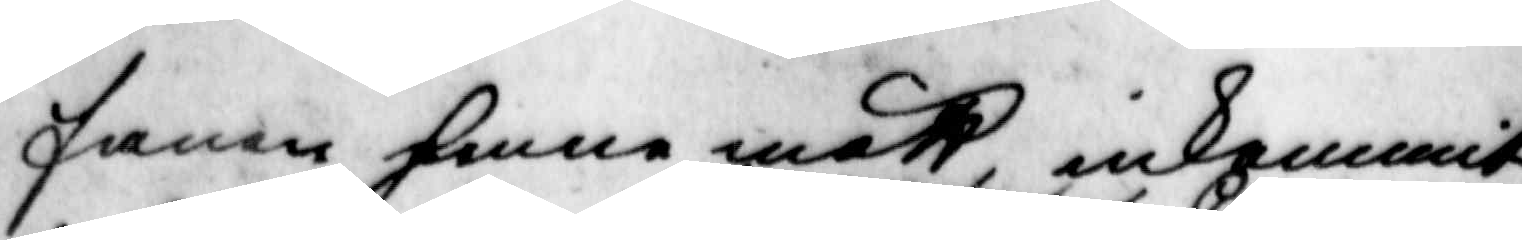fanen henne mätt, inkommit
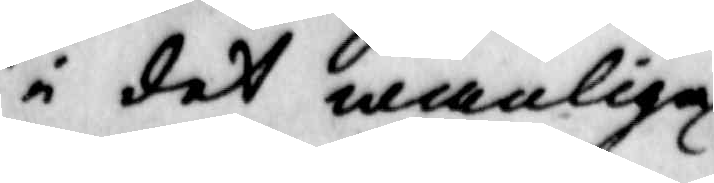i det wanliga, hwarest han utom
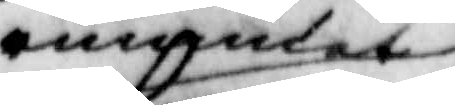rummet
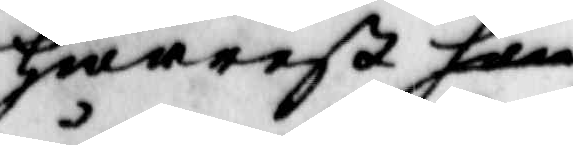hwarest hon 
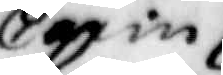Carin
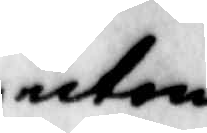utom
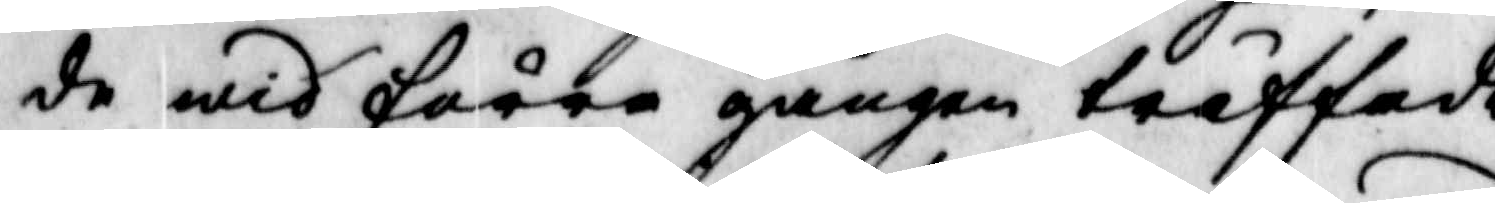de wid förre gången träffade
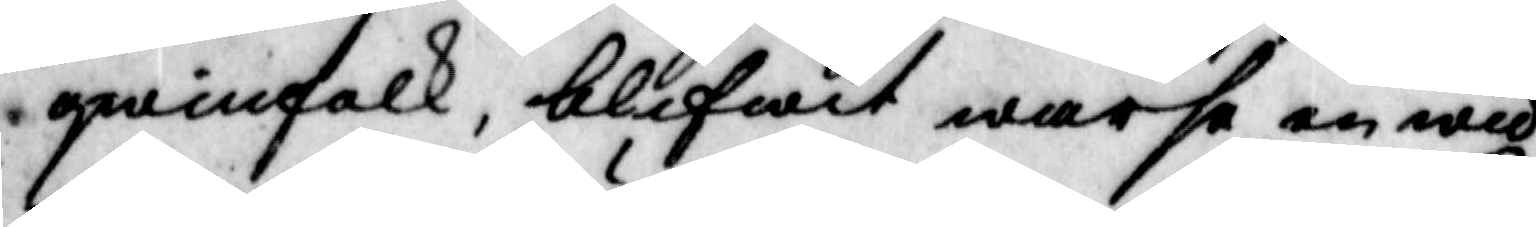qwinfolk, blifwit warse en wid
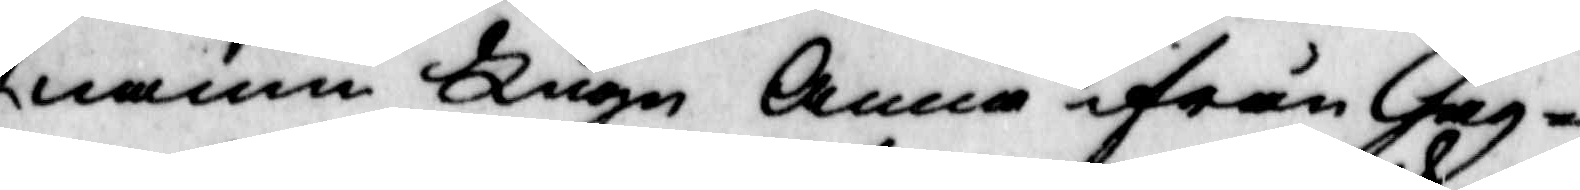namn Hugn Anna ifrån Gag¬
